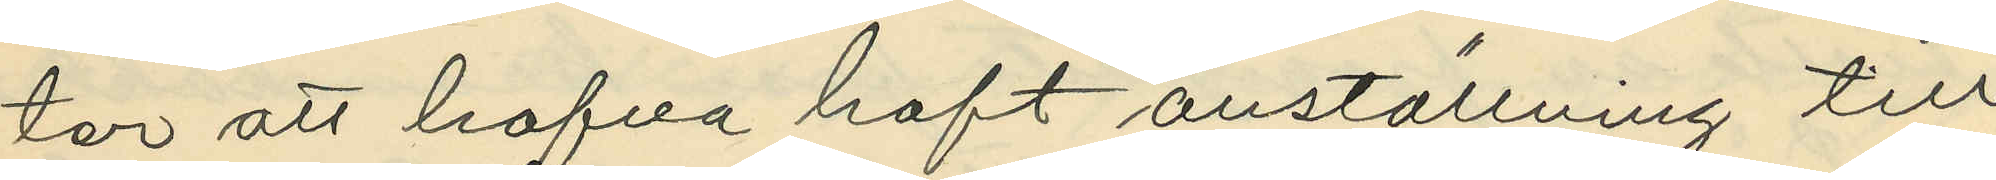ter att hafva haft anställning till
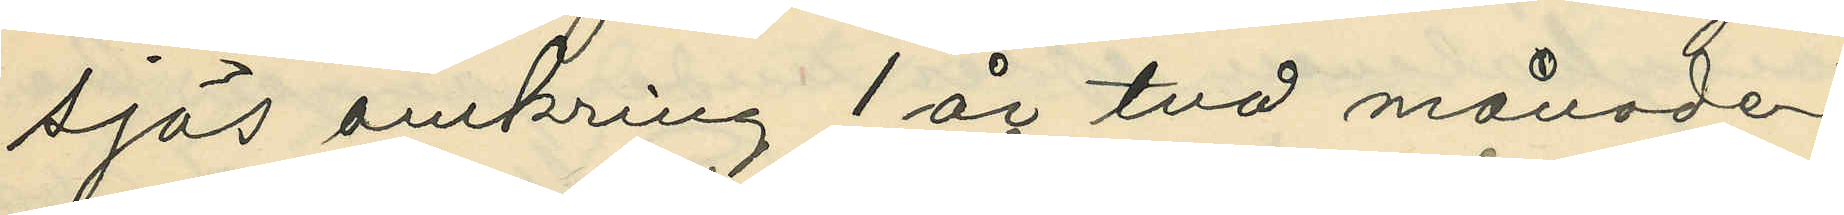sjös omkring 1 år två månader,
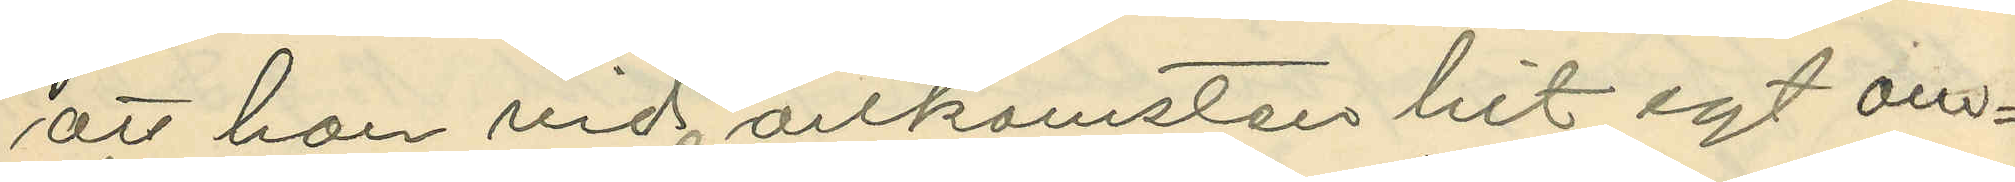att han vid ankomsten hit egt om¬
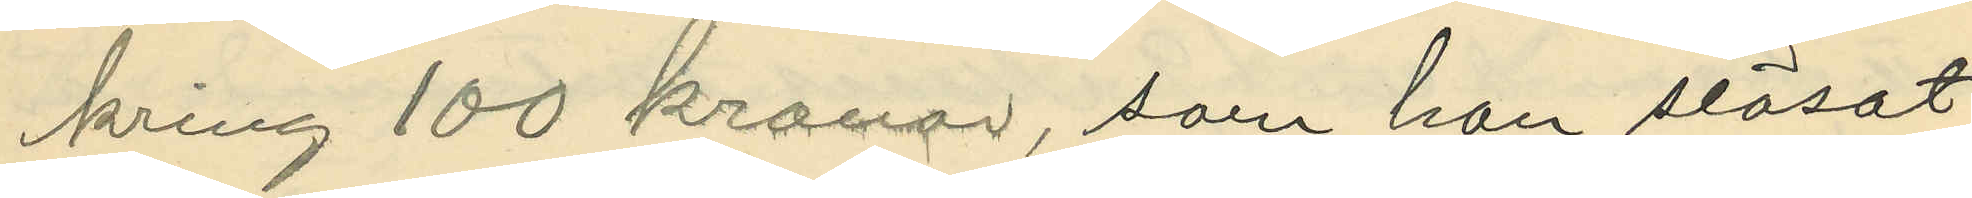kring 100 kronor, som han slösat
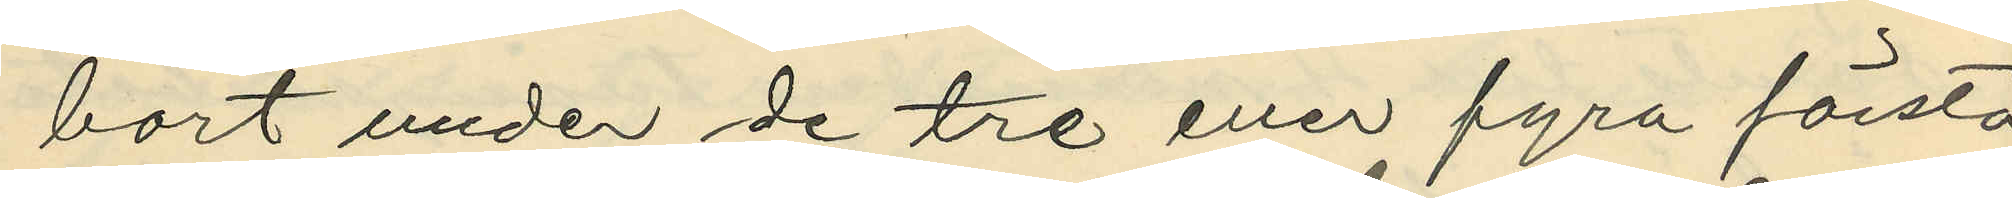bort under de tre eller fyra första
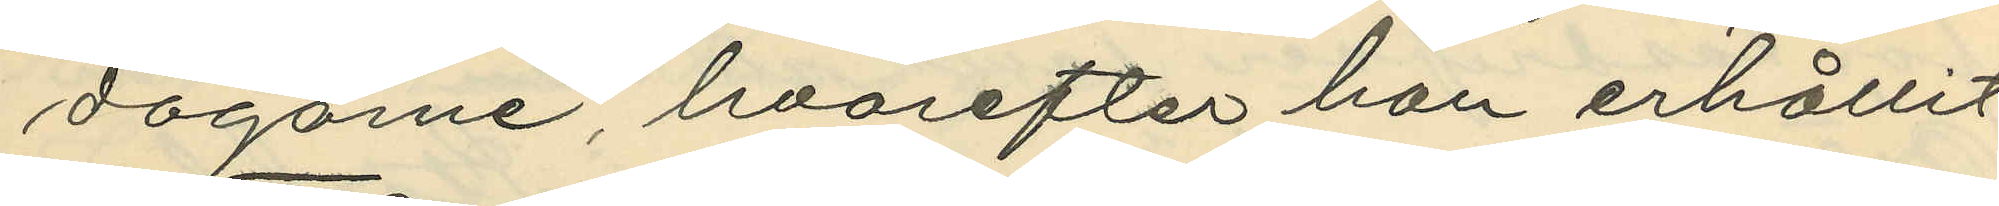dagarne, hvarefter han erhållit
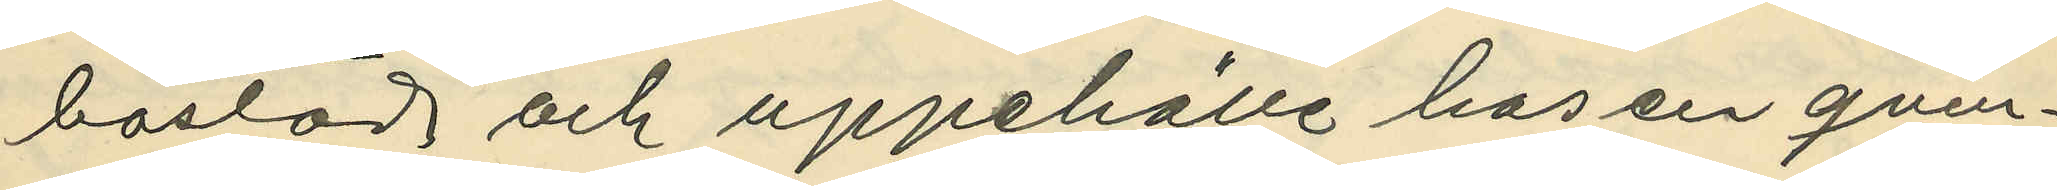bostad och uppehälle hos en qvin¬
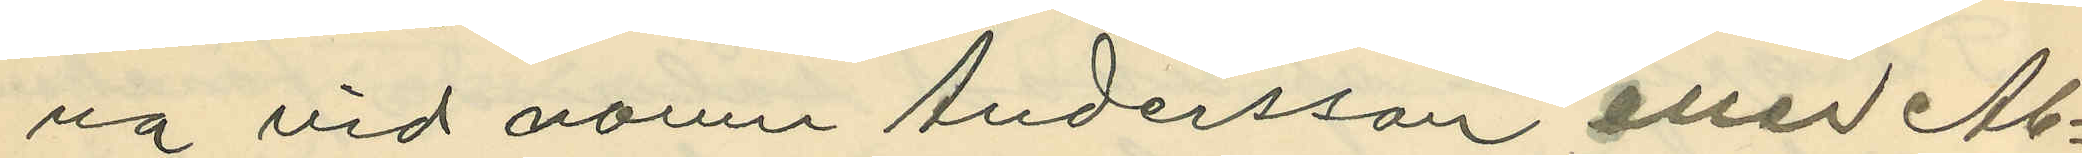na vid namn Andersson eller Ab¬
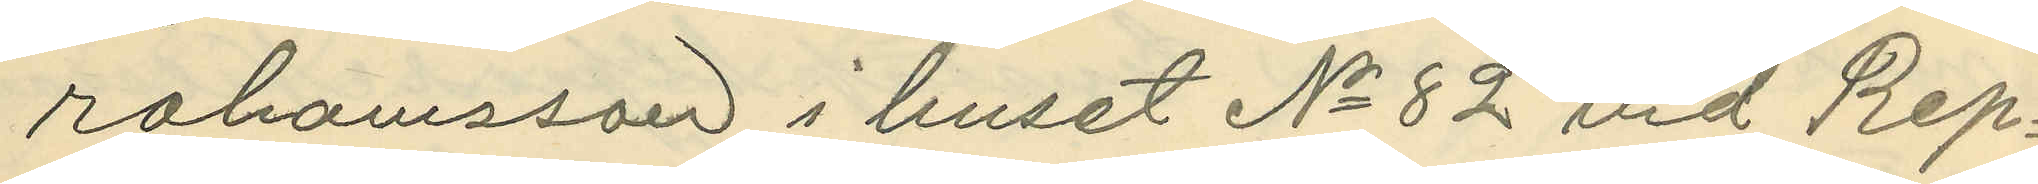rahamsson i huset No 82 vid Rep¬
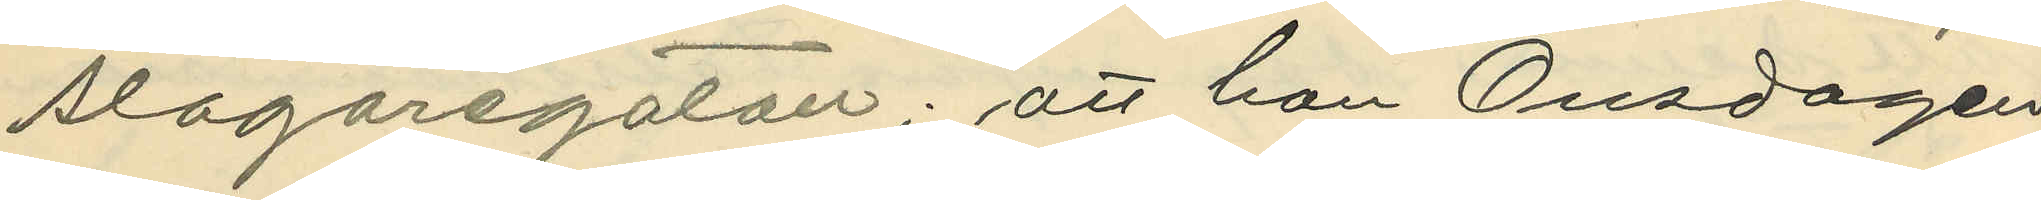slagaregatan; att han Onsdagen
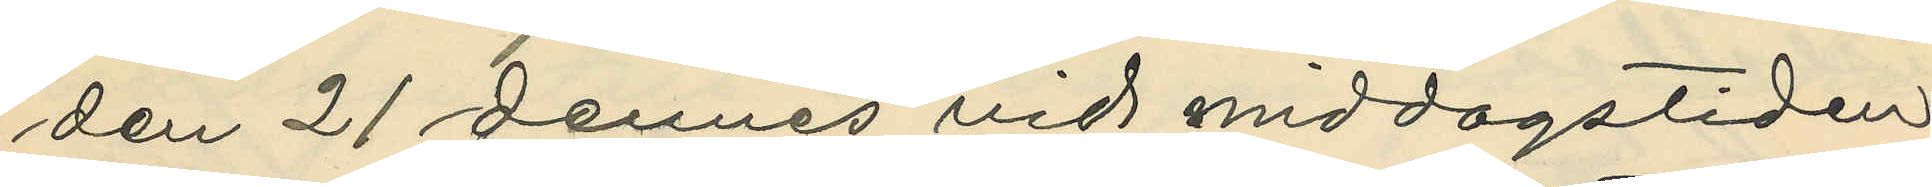den 21 dennes vid middagstiden
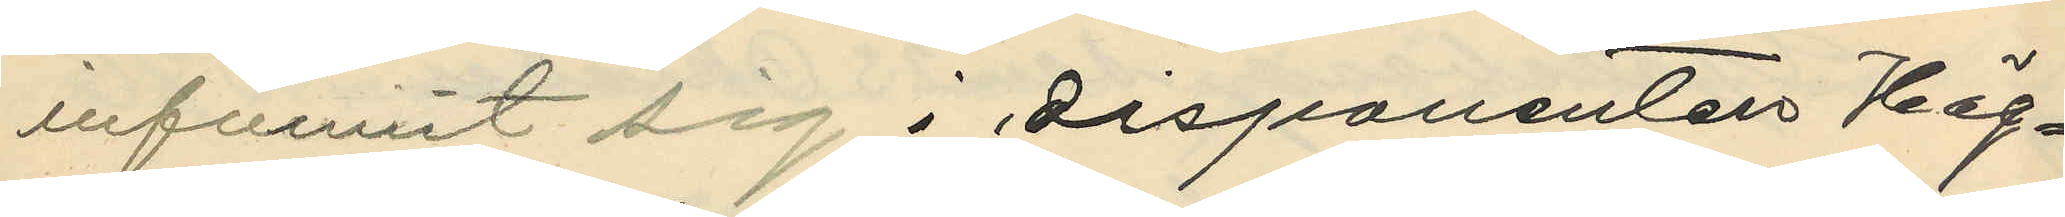infunnit sig i disponenten Hög¬
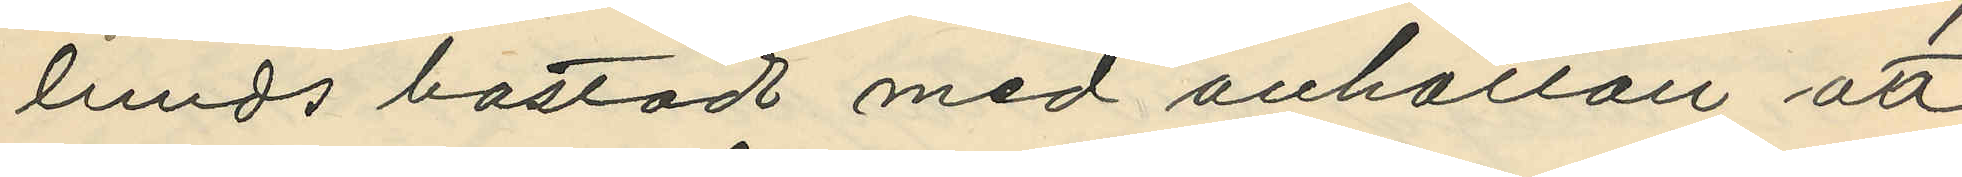lunds bostad med anhållan att
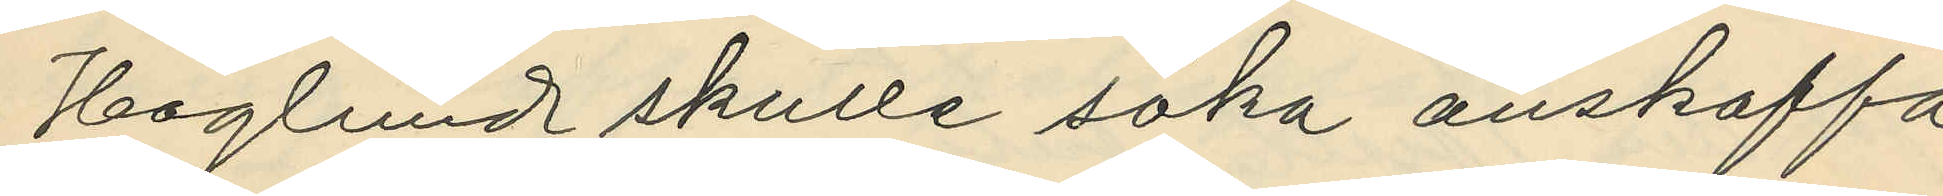Hoglund skulle söka anskaffa
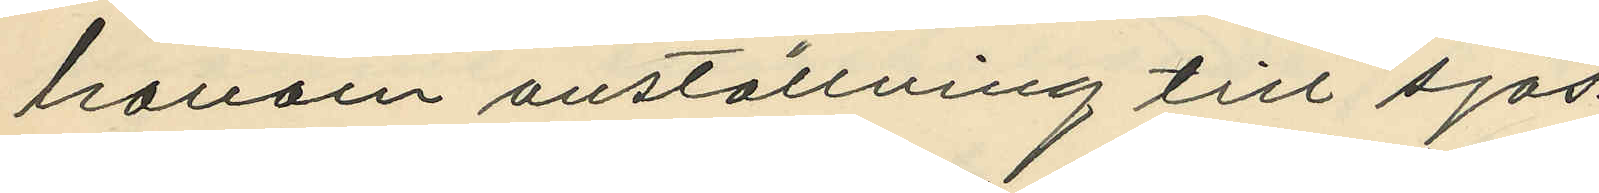honom anställning till sjös.
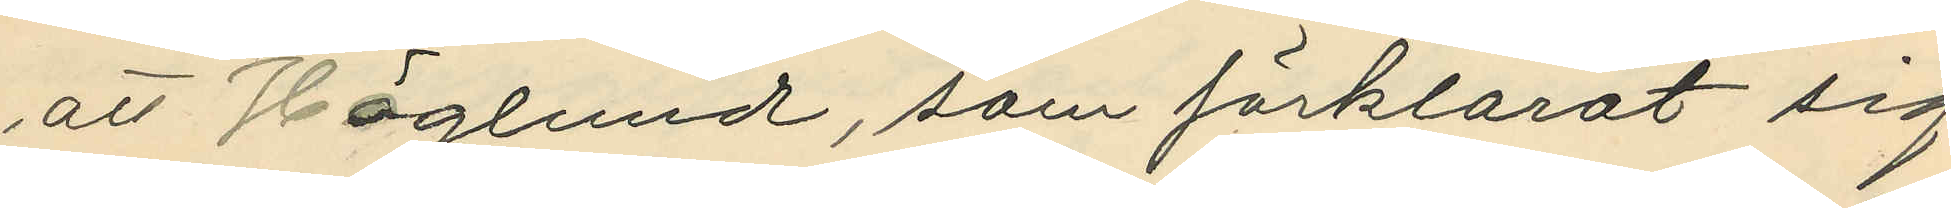att Höglund, som förklarat sig
